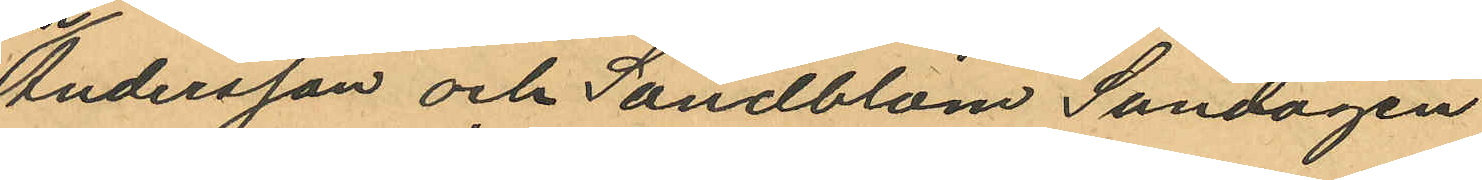Andersson och Sandblom Söndagen
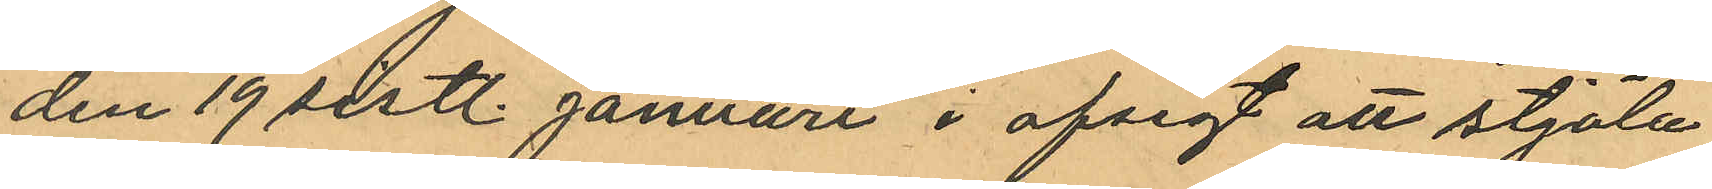den 19 sistl. Januari i afsigt att stjäla
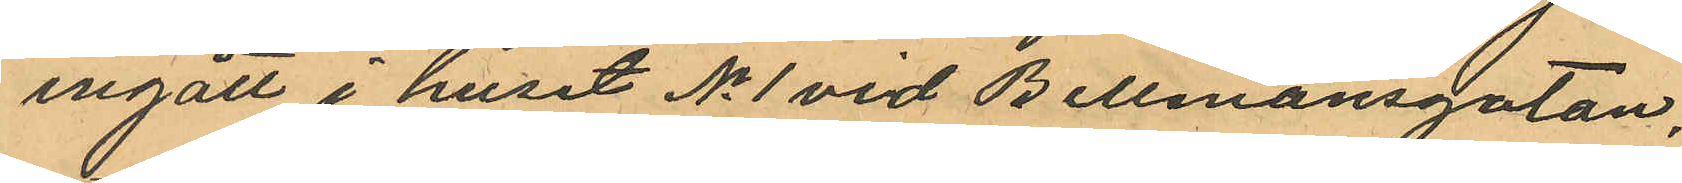ingått i huset No 1 vid Bellmansgatan,
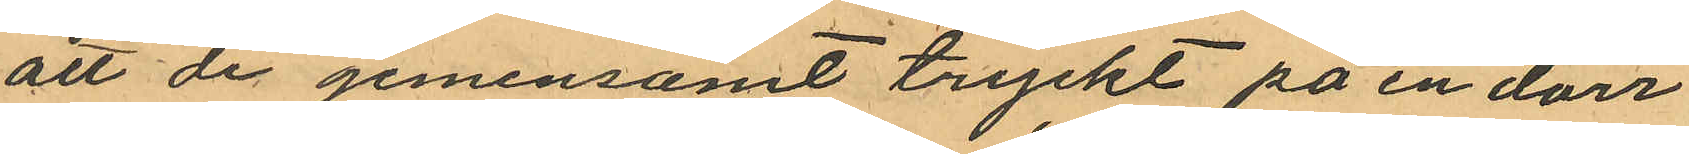att de gemensamt tryckt på en dörr
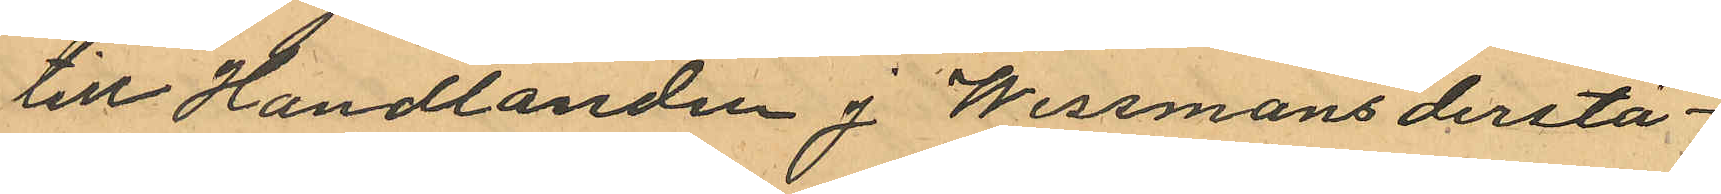till Handlanden J. Wissmans derstä¬
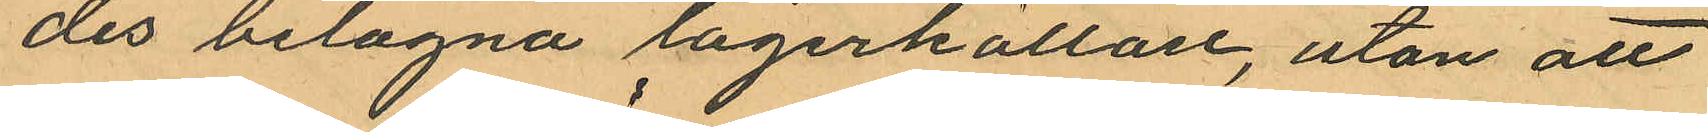des belägna lagerkällare, utan att
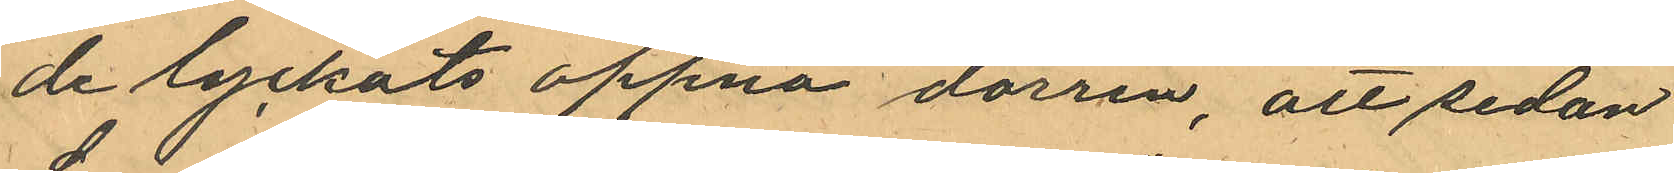de lyckats öppna dörren, att sedan
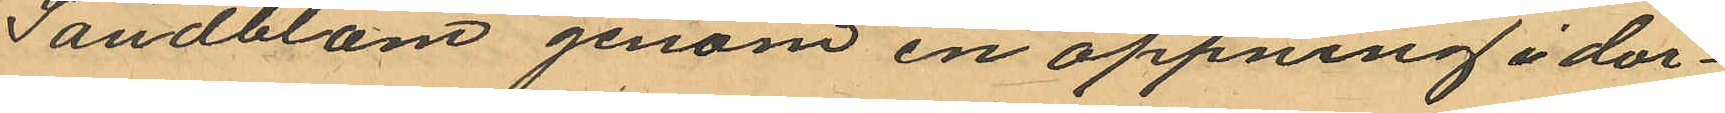Sandblom genom en öppning i dör¬
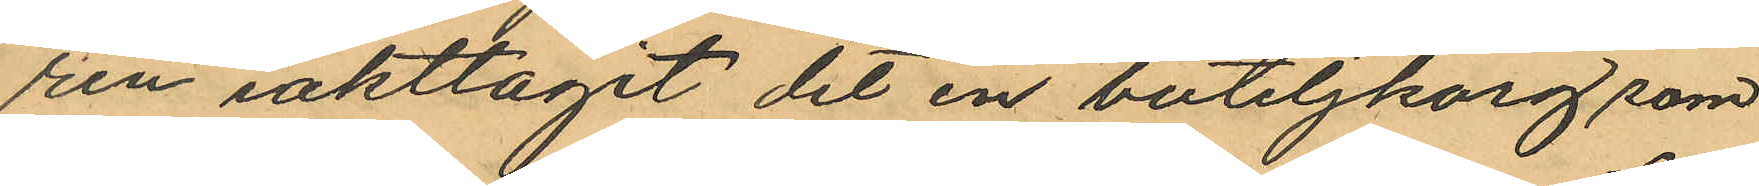ren iakttagit det en buteljkorg som
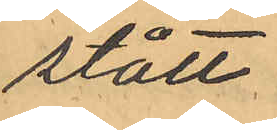stått
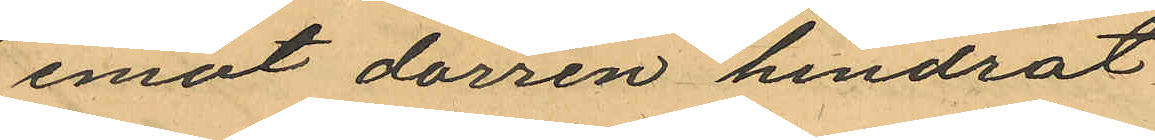emot dörren hindrat
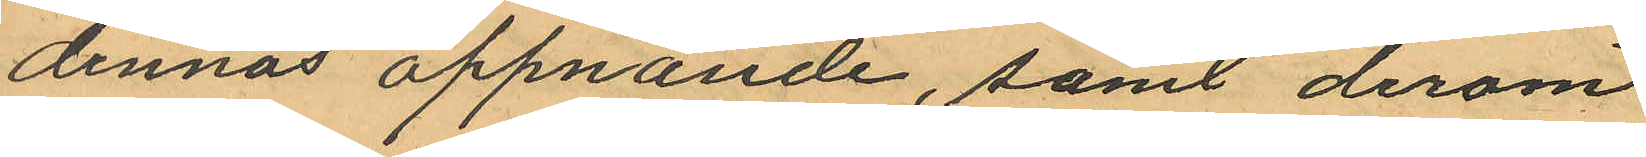dennas öppnande, samt derom
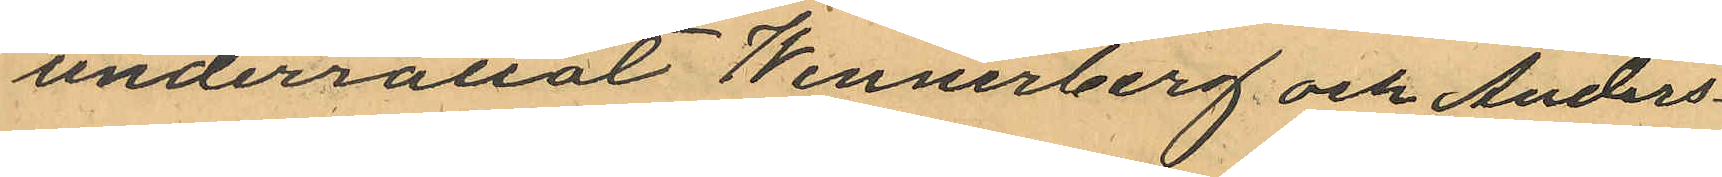underrättat Wennerberg och Anders¬
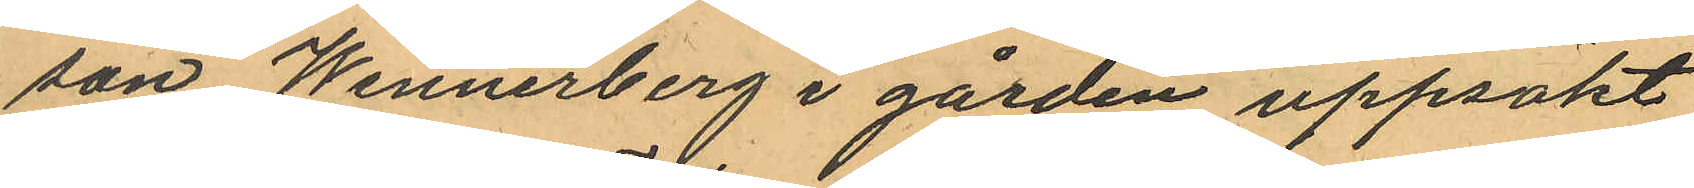son Wennerberg i gården uppsökt
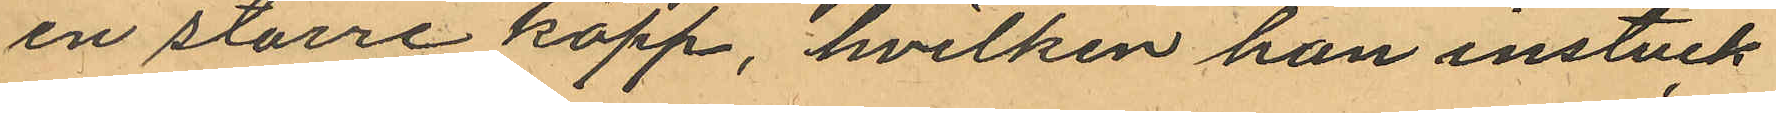en större käpp, hvilken han instuck
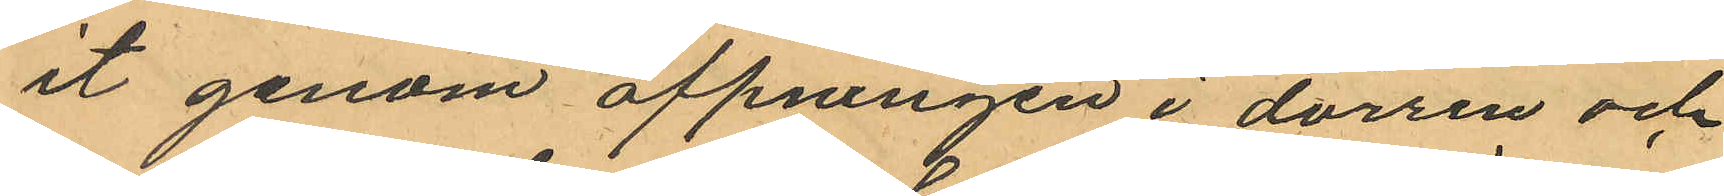et genom öppningen i dörren och
